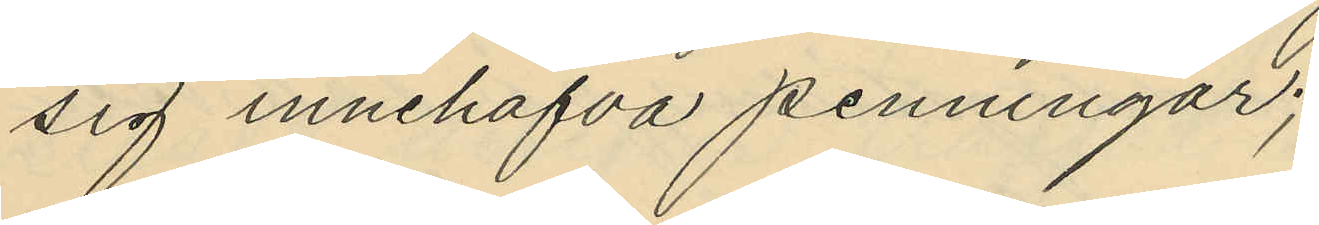sig innehafva penningar;
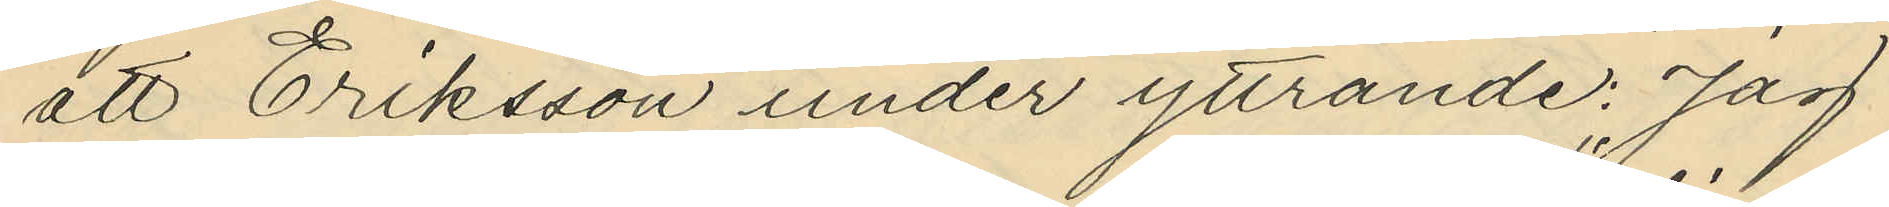att Eriksson under yttrande: "Jag
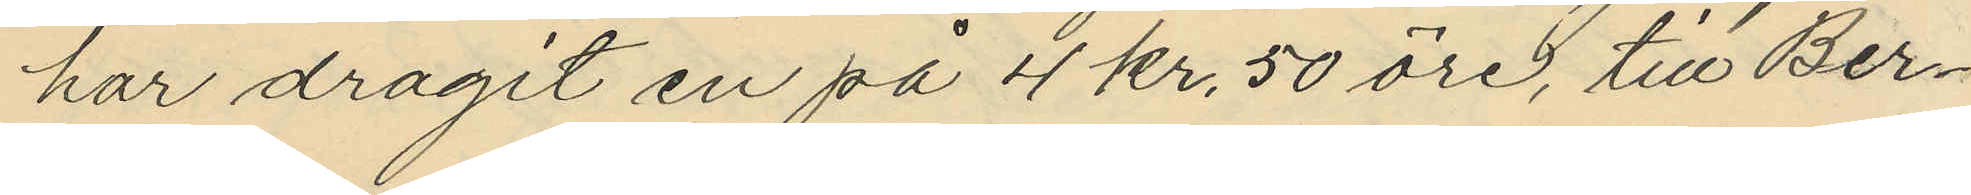har dragit en på 4 kr. 50 öre", till Ber¬
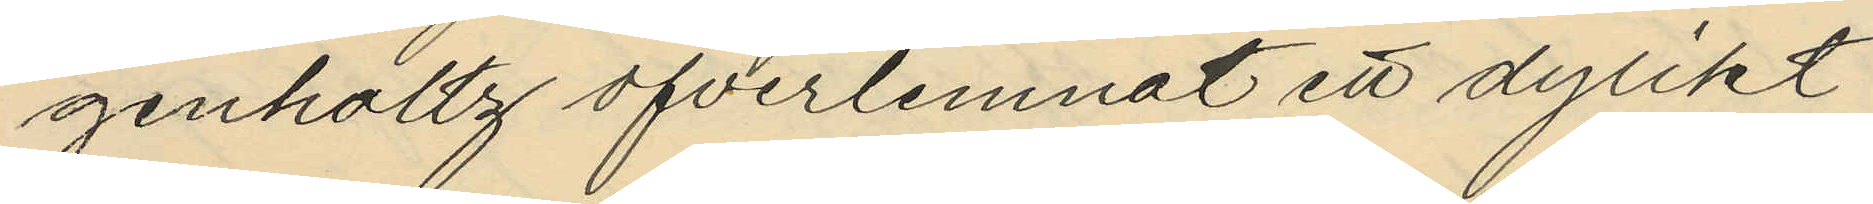genholtz öfverlemnat ett dylikt
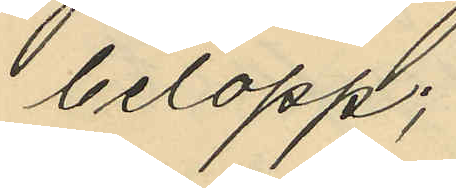belopp;
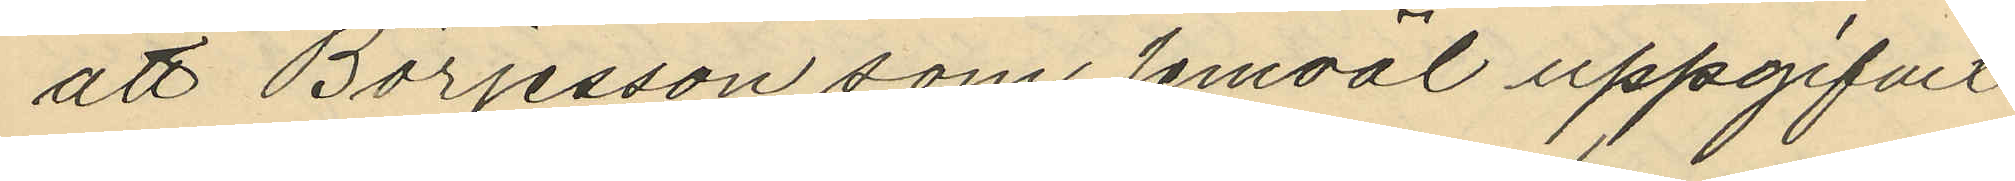att Börjesson som jemväl uppgifvit
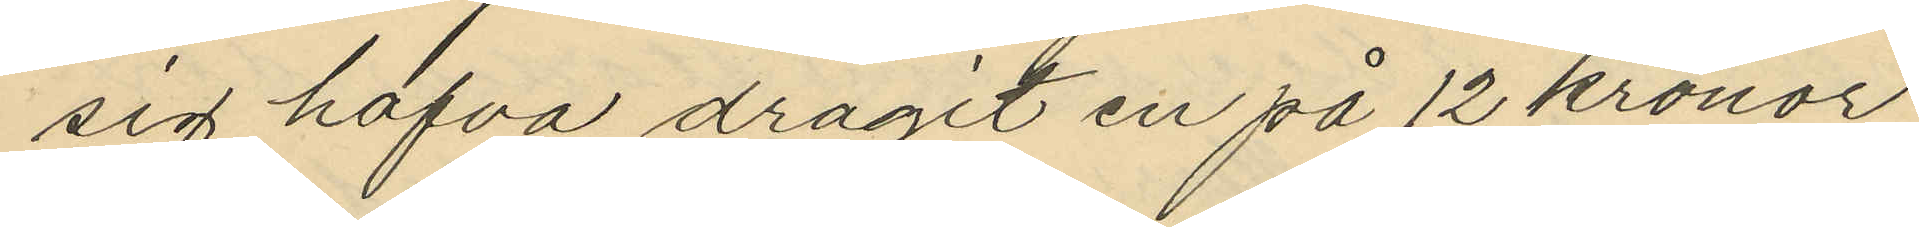sig hafva dragit en på 12 kronor
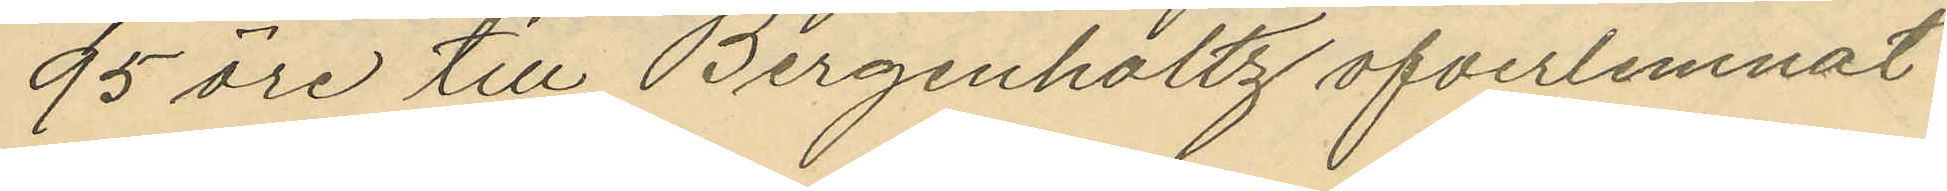95 öre till Bergenholtz öfverlemnat
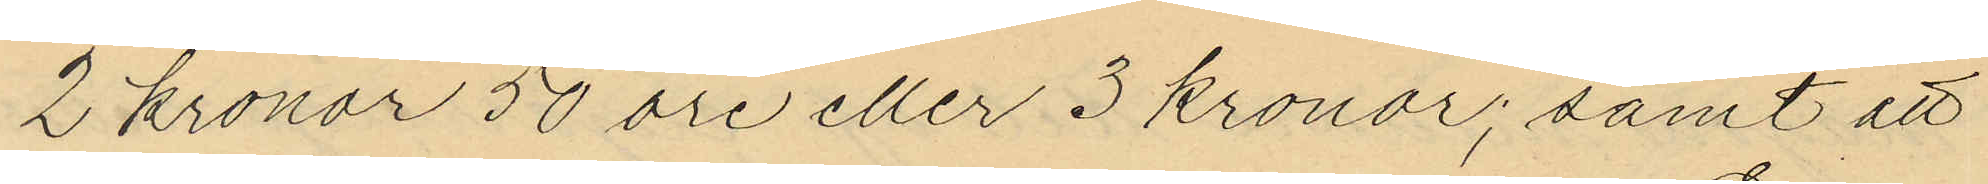2 kronor 50 öre eller 3 kronor; samt att
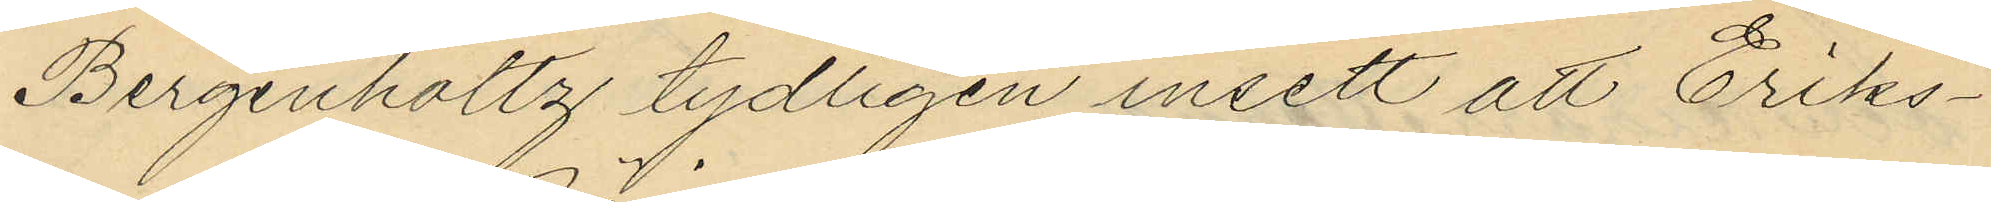Bergenholtz tydligen insett att Eriks¬
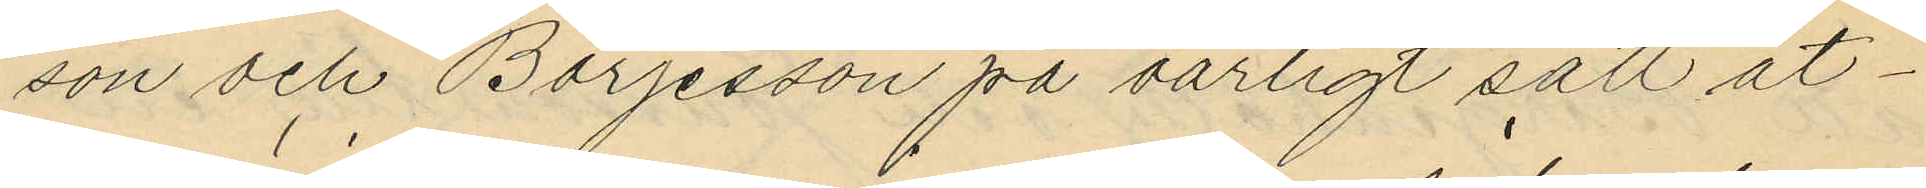son och Börjesson på oärligt sätt åt¬
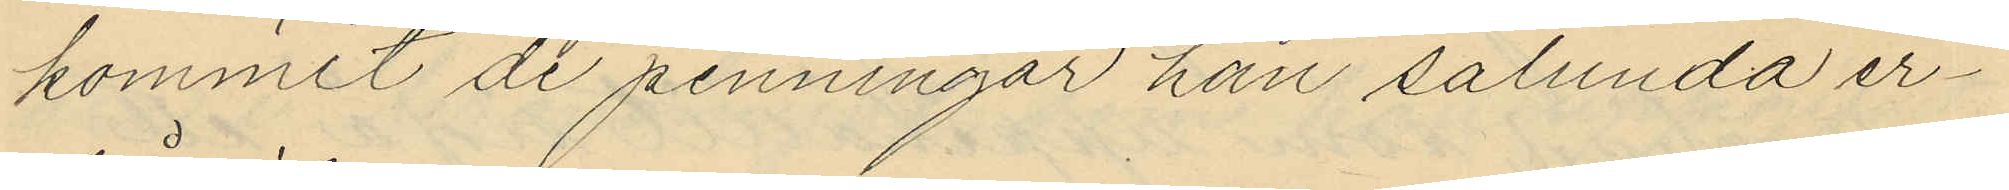kommit de penningar han sålunda er¬
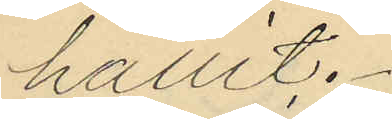hållit.
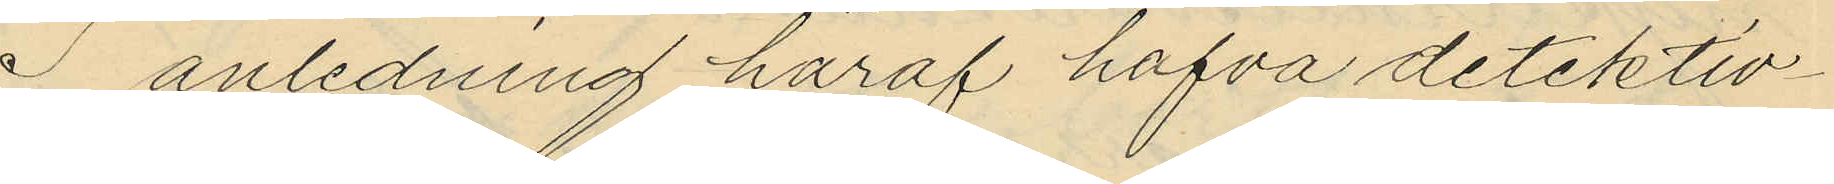I anledning häraf hafva detektiv¬
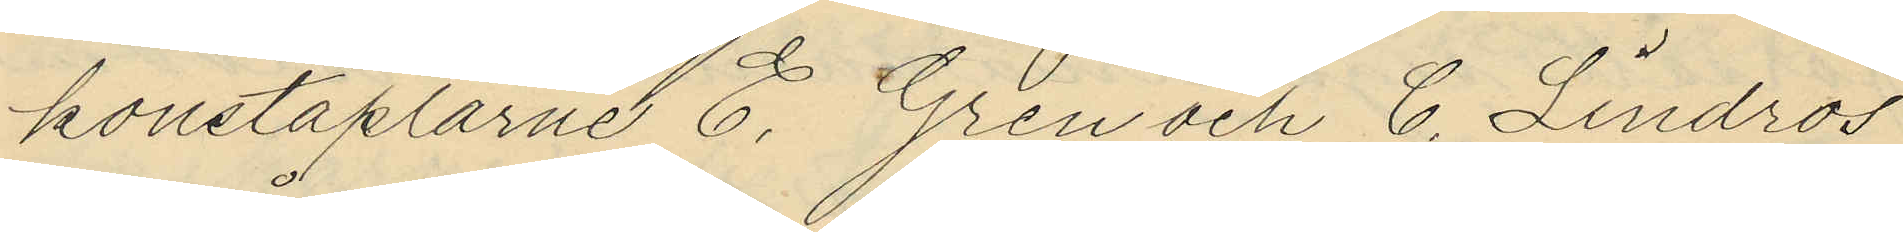konstaplarne E. Gren och C. Lindros
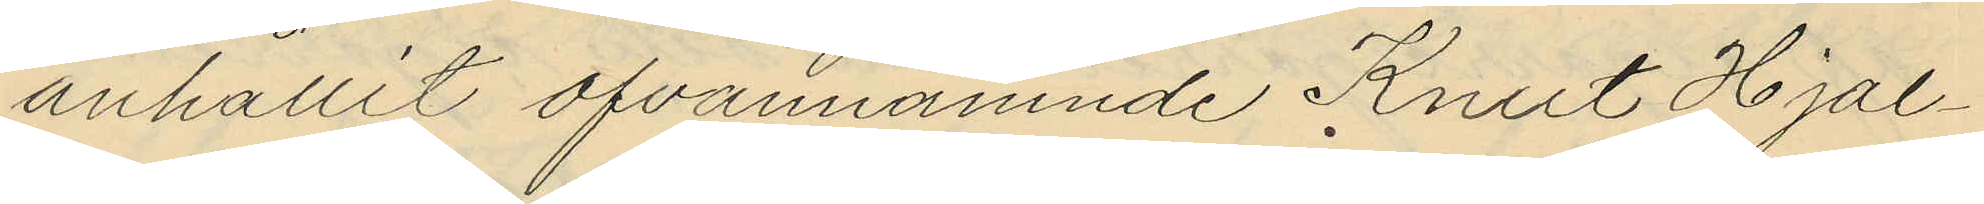anhållit ofvannämnde Knut Hjal¬
